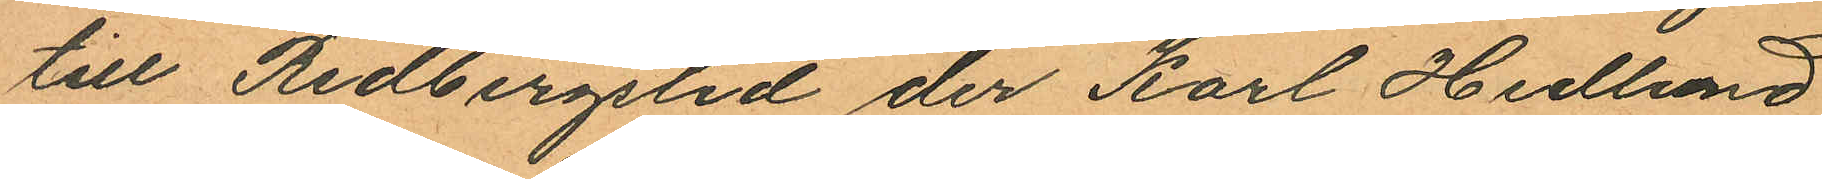till Redbergslid der Karl Hedlund
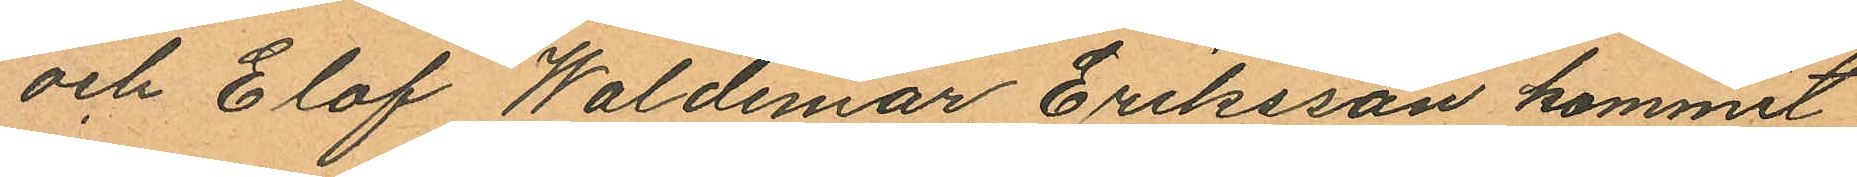och Elof Waldemar Eriksson kommit
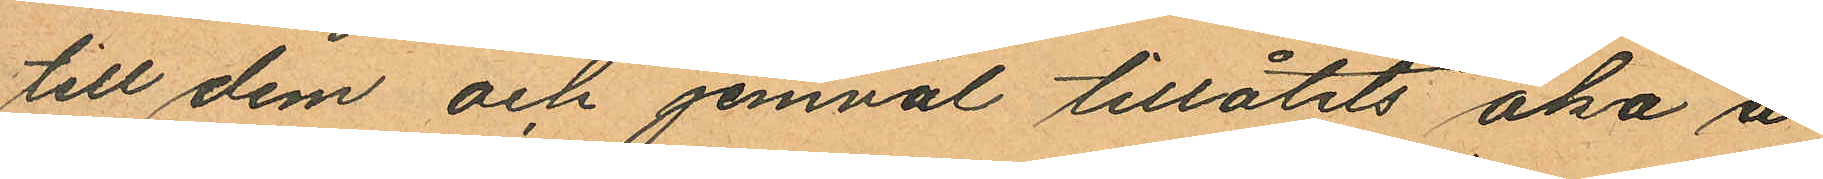till dem och jemväl tillåtits åka å
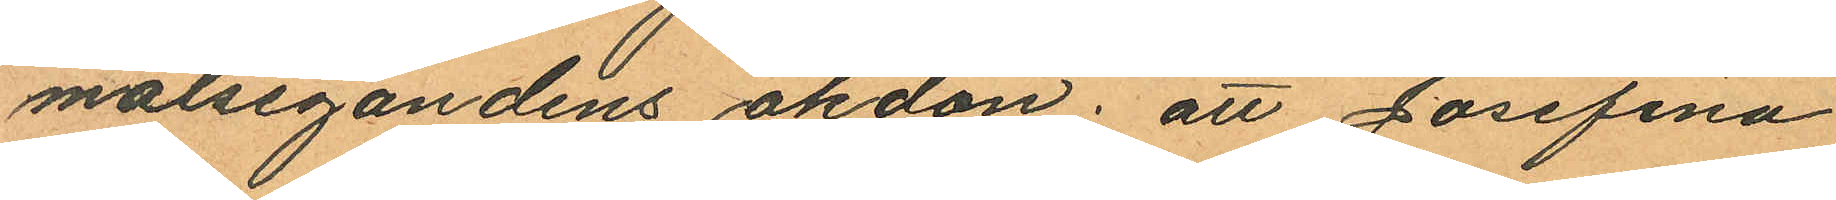målsegandens åkdon; att Josefina
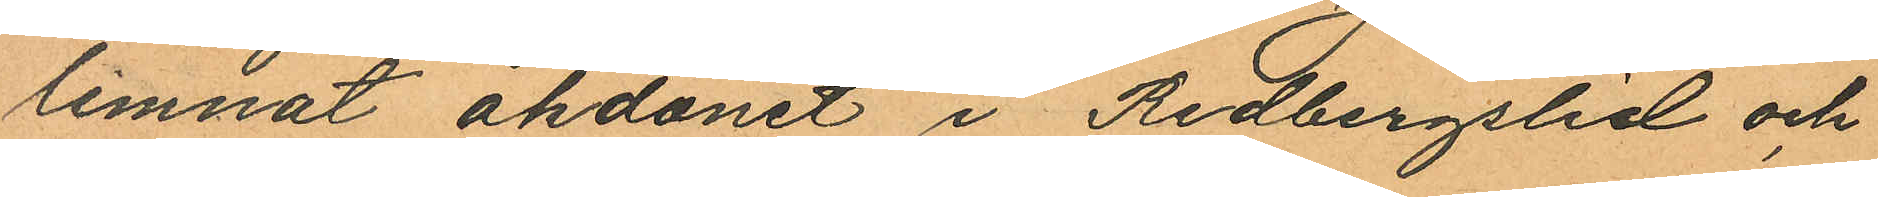lemnat åkdonet i Redbergslid och
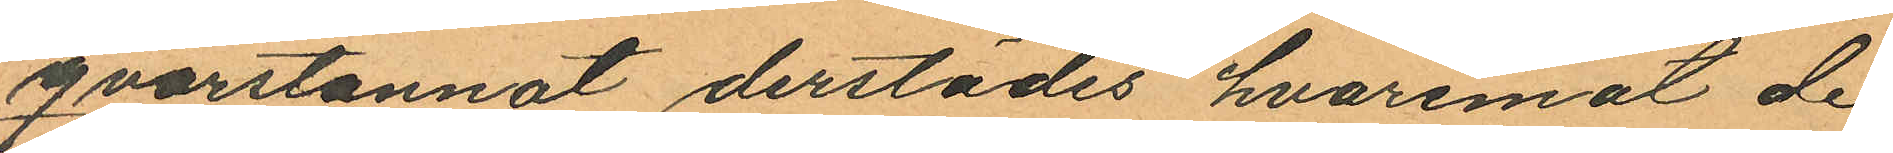qvarstannat derstädes hvaremot de
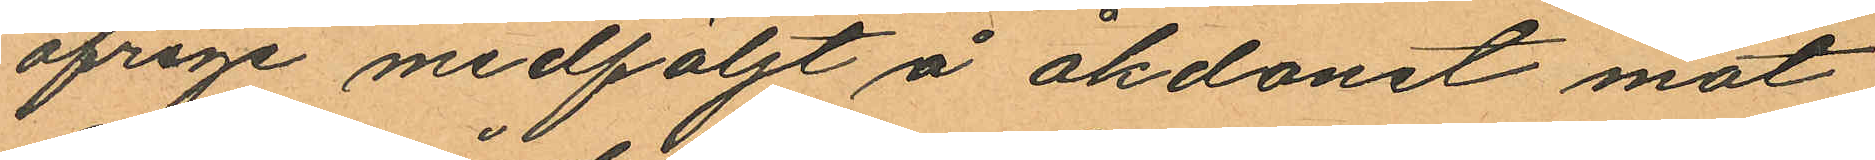öfrige medföljt å åkdonet mot
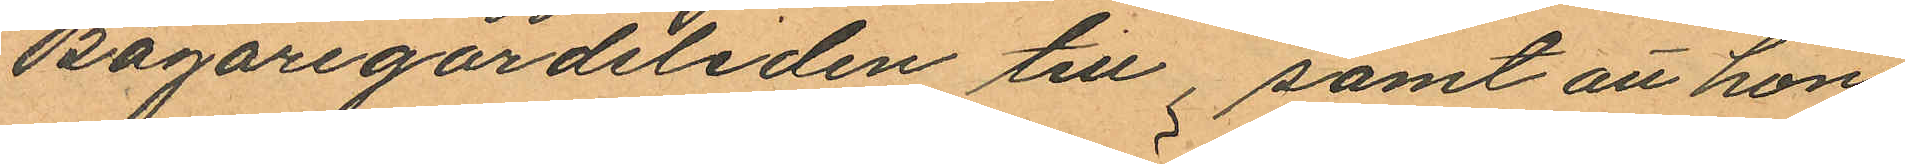Bagaregårdsliden till samt att hon
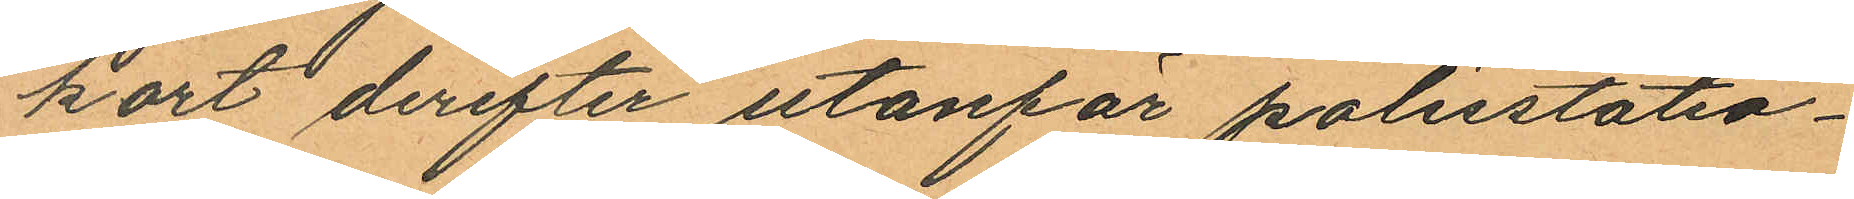kort derefter utanför polisstatio¬
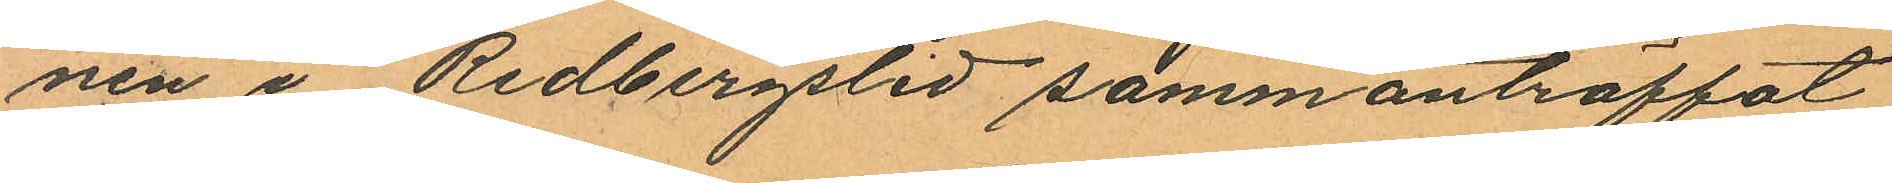nen i Redbergslid sammanträffat
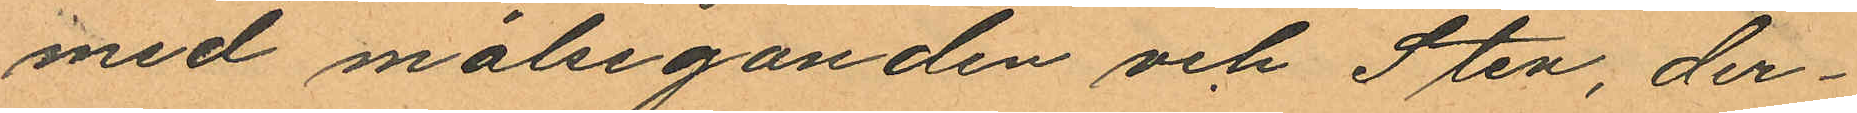med målseganden och Sten, der¬
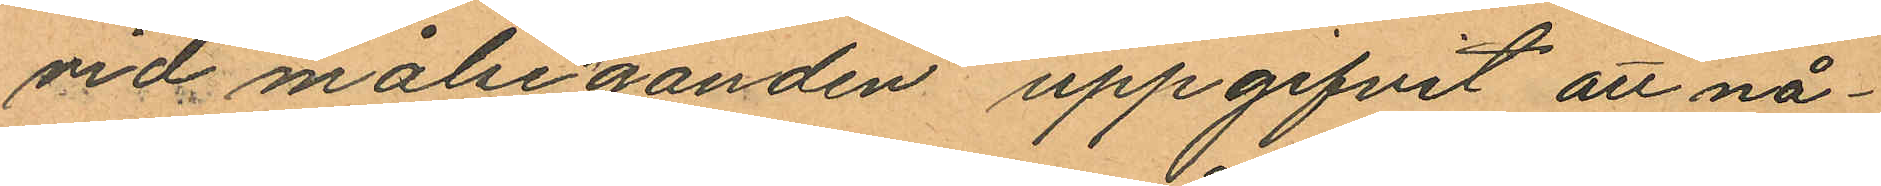vid målseganden uppgifvit att nå¬
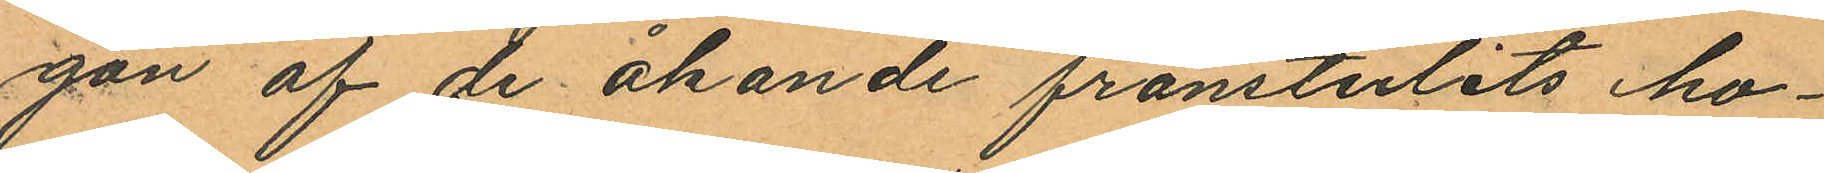gan af de åkande frånstulits ho¬
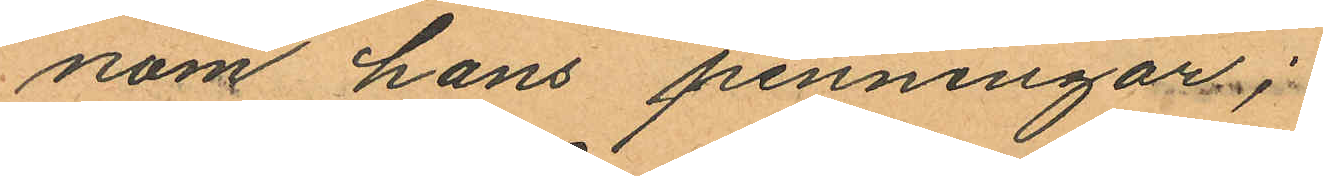nom hans penningar;
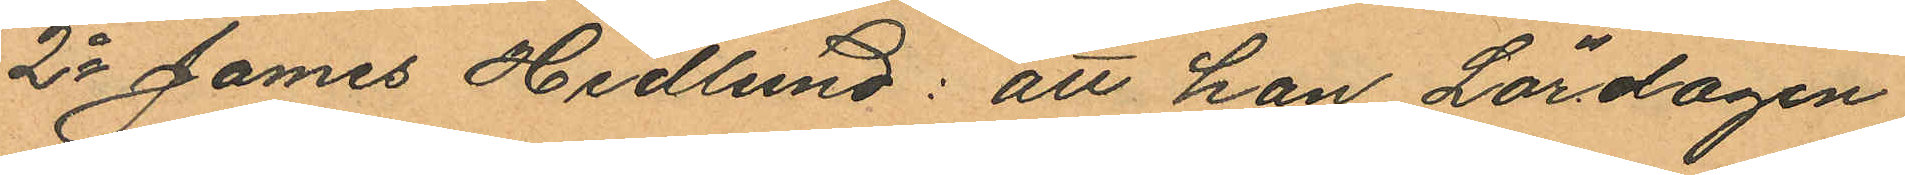2o James Hedlund: att han Lördagen
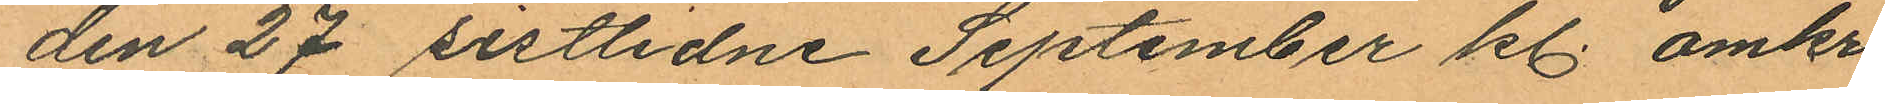den 27 sistlidne September kl. omkr.
